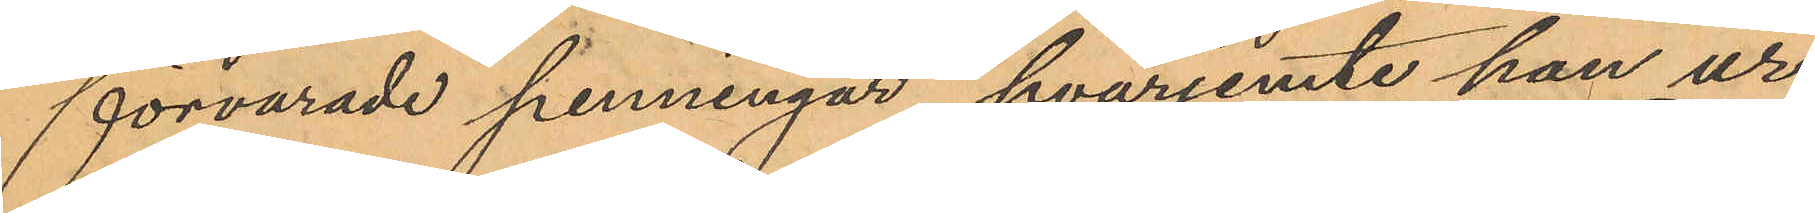förvarade penningar, hvarjemte han ur
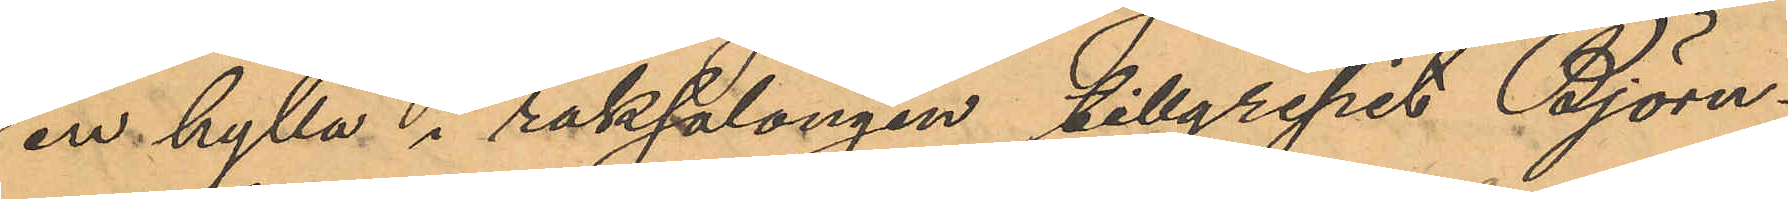en hylla i raksalongen tillgripit Björn¬
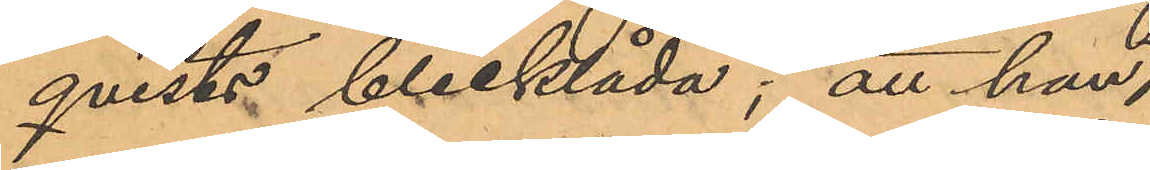qvists blecklåda; att han,
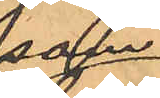som
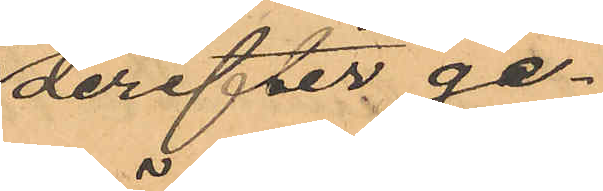derefter ge¬
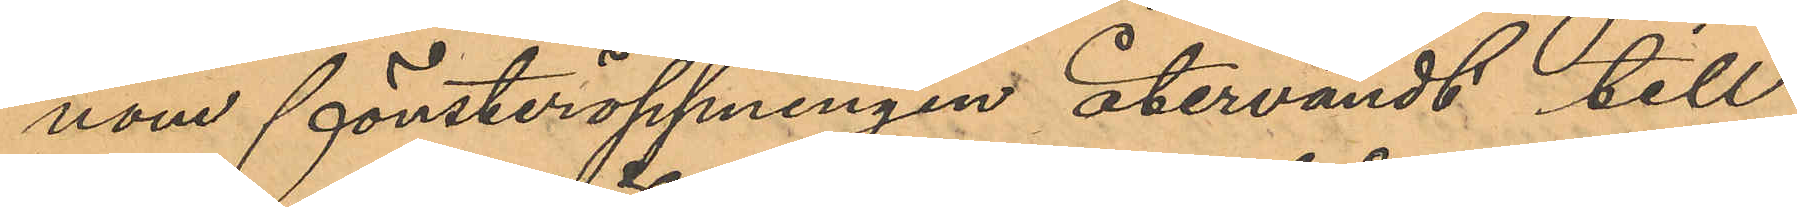nom fönsteröppningen återvändt till
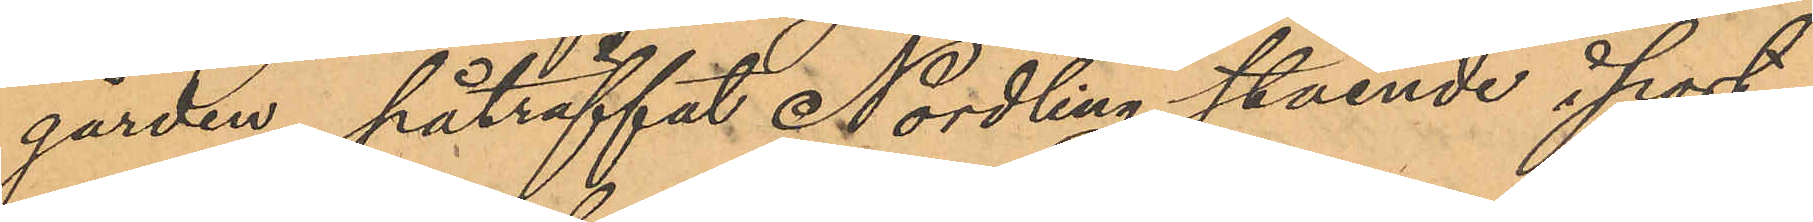gården, påträffat Nordling stående i port¬
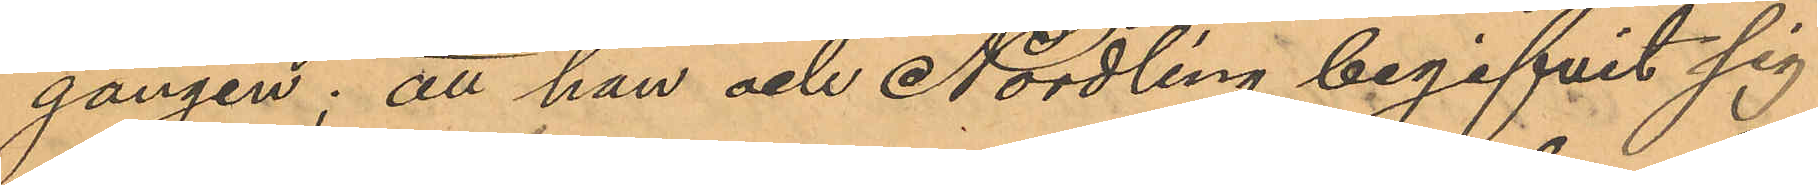gången; att han och Nordling begifvit sig
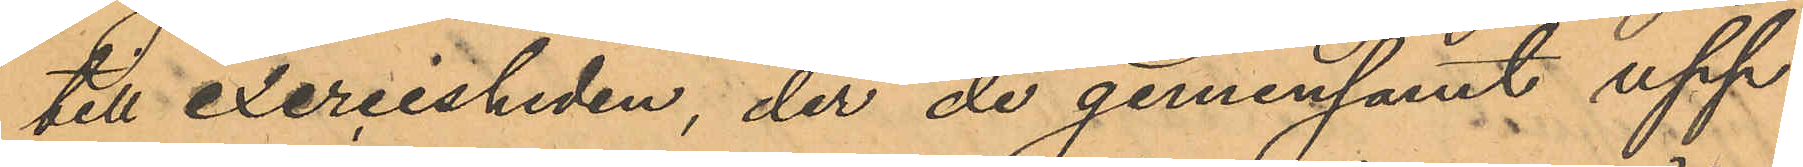till exercisheden, der de gemensamt upp¬
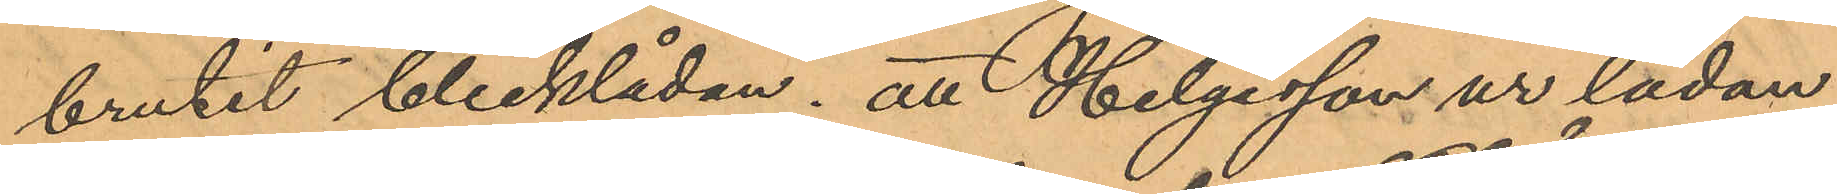brutit blecklådan; att Helgesson ur lådan
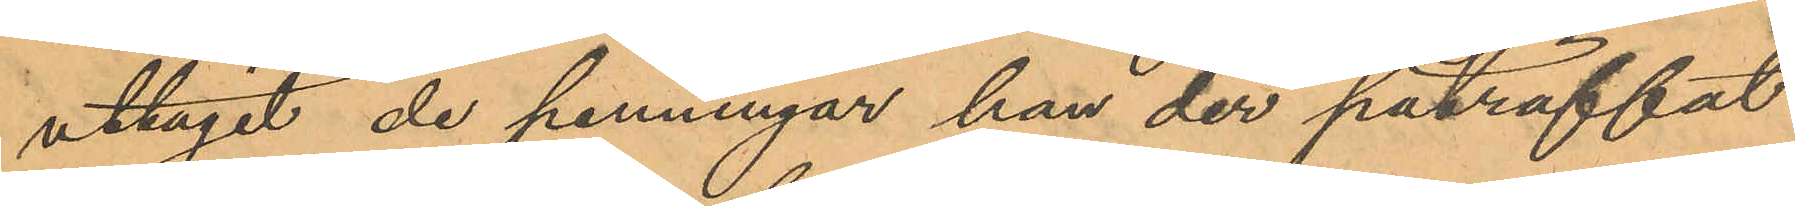uttagit de penningar han der påträffat
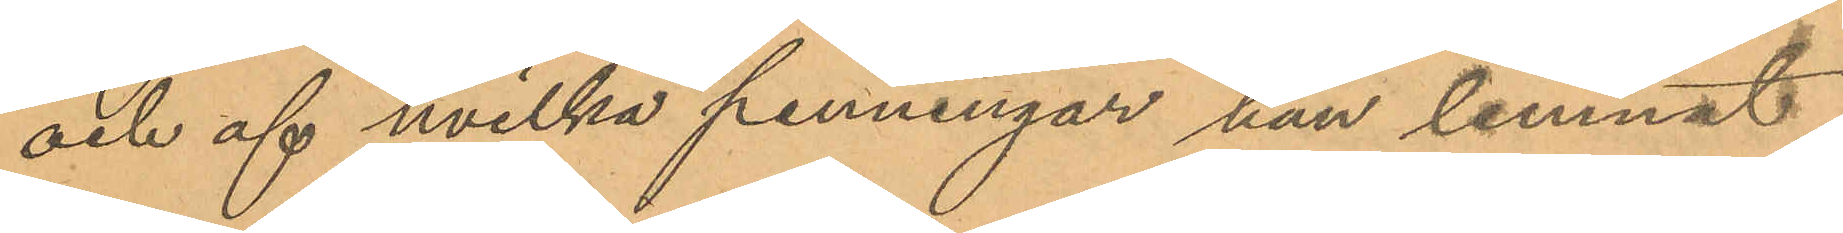och af hvilka penningar han lemnat
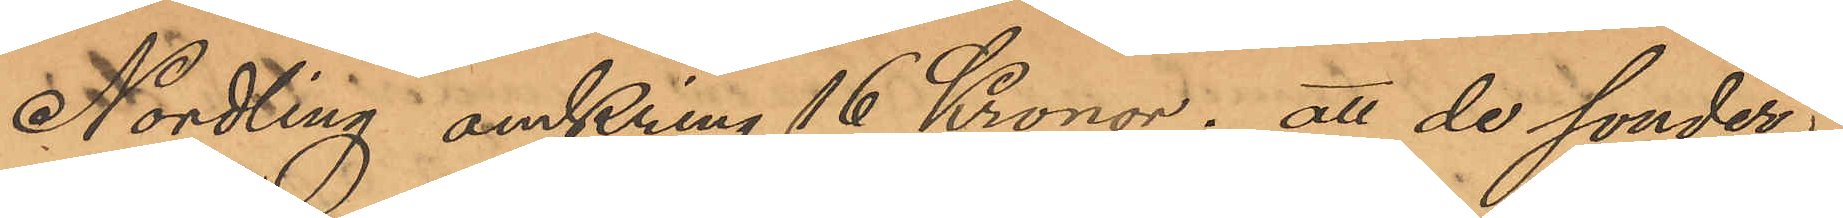Nordling omkring 16 Kronor; att de sönder¬
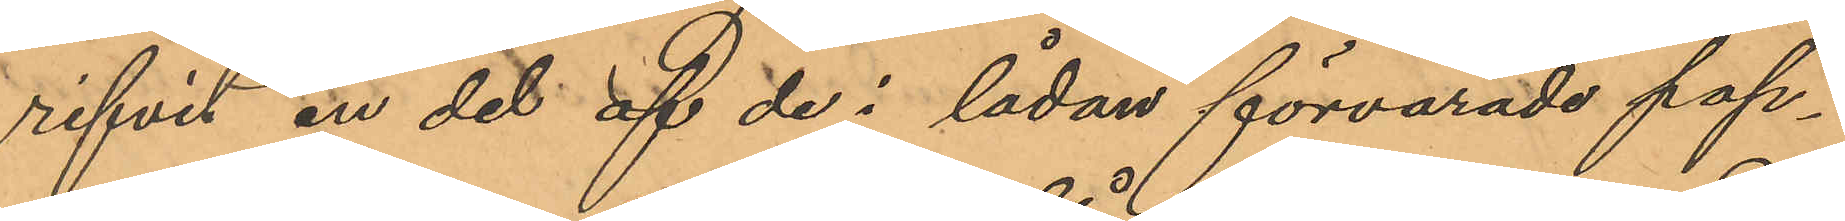rifvit en del af de i lådan förvarade pap¬
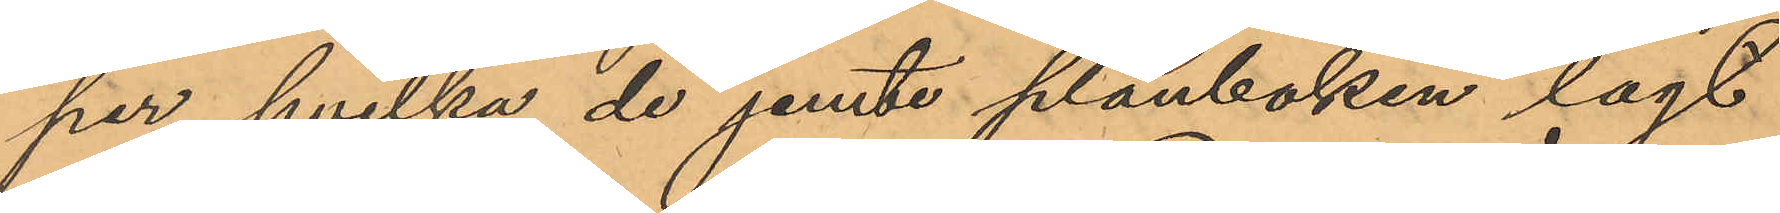per hvilka de jemte plånboken lagt
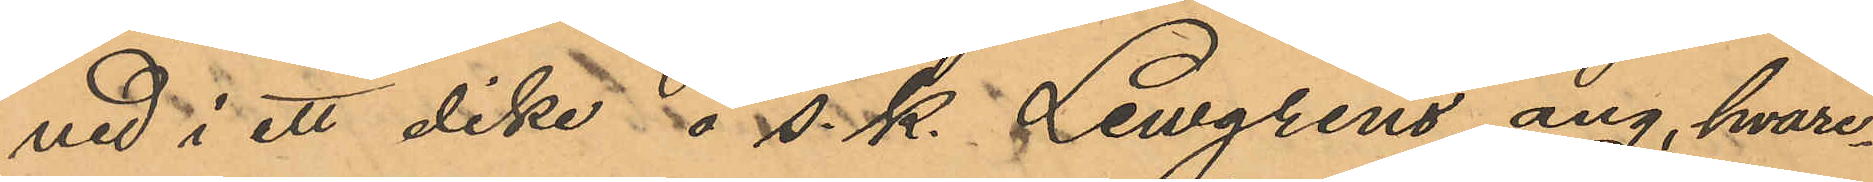ned i ett dike å s. k. Lewgrens äng, hvare¬
